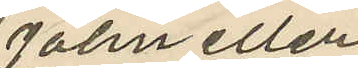John eller
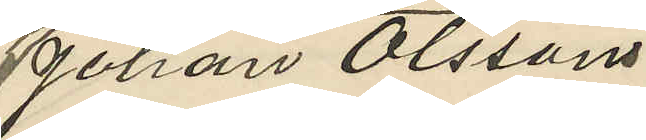Johan Olssons
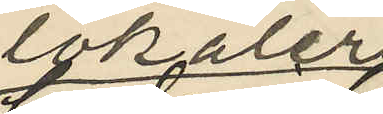lokaler
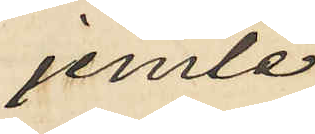jemte
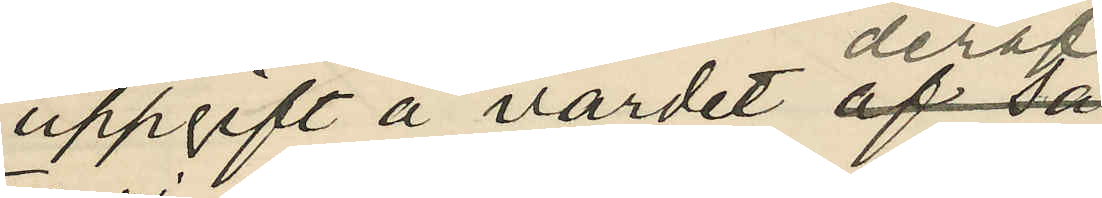uppgift å värdet deraf.
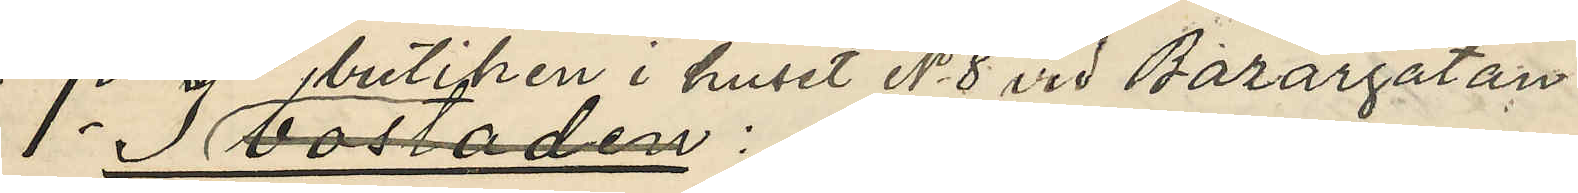1o I butiken i huset No 8 vid Bazargatan
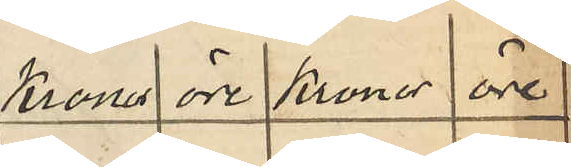Kronor öre Kronor öre
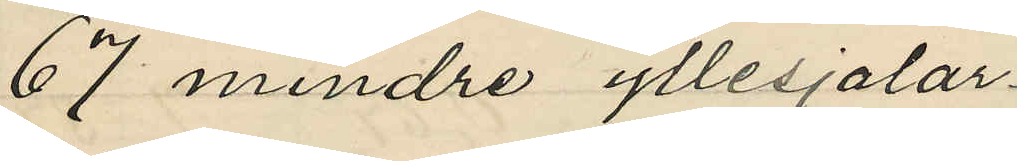67 mindre yllesjalar
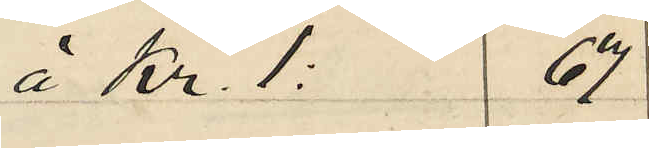á Kr. 1: 67
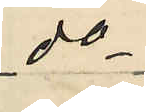do
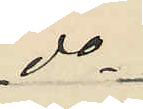do
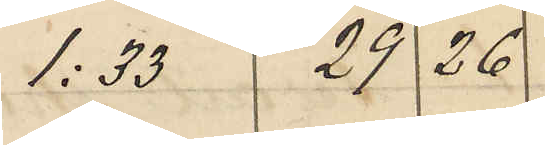1:33 29 26
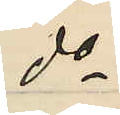do
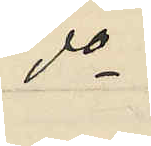do
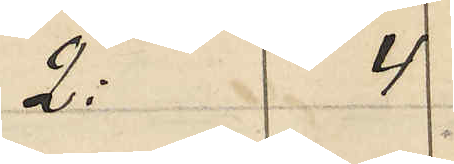2: 4
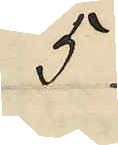5
